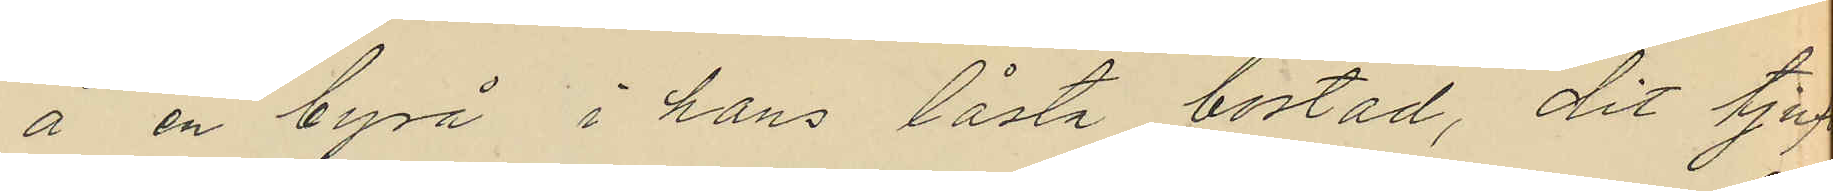å en byrå i hans låsta bostad, dit tjuf
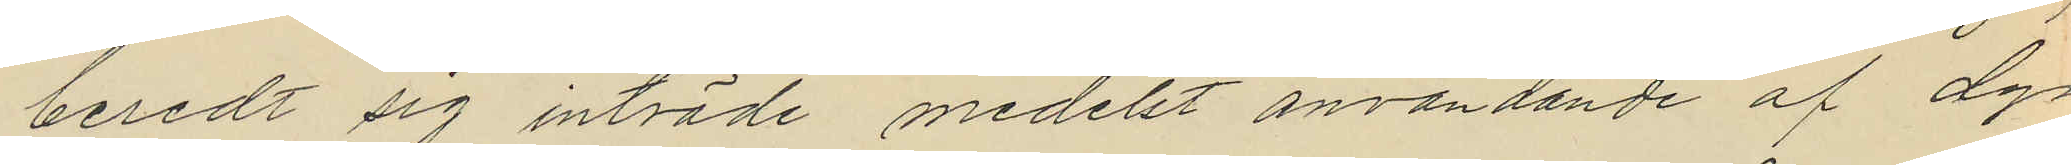beredt sig inträde medelst användande af dyrk
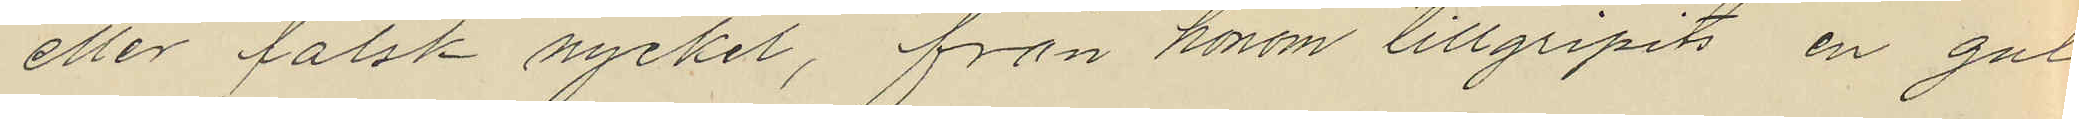eller falsk nyckel, från honom tillgripits en gul
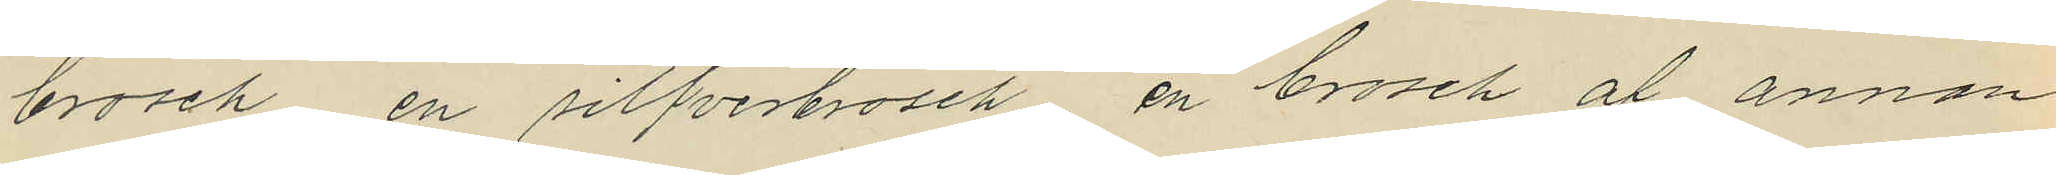brosch en silfverbrosch, en brosch af annan
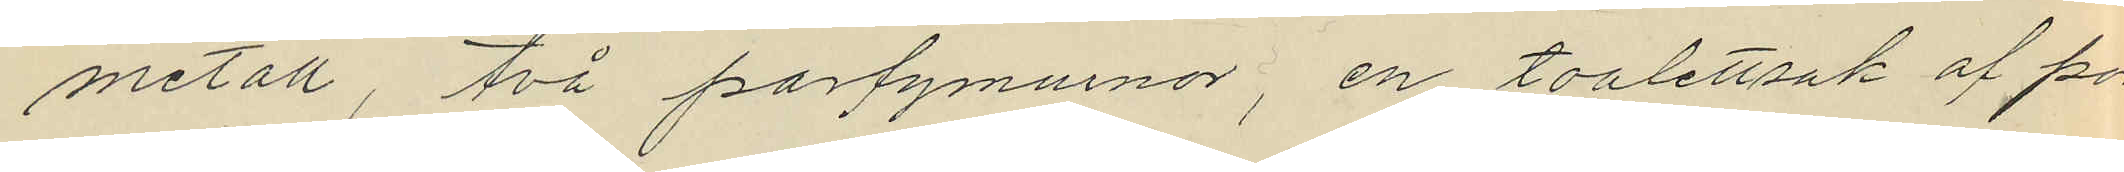metall, två parfymurnor, en toalettsak af por
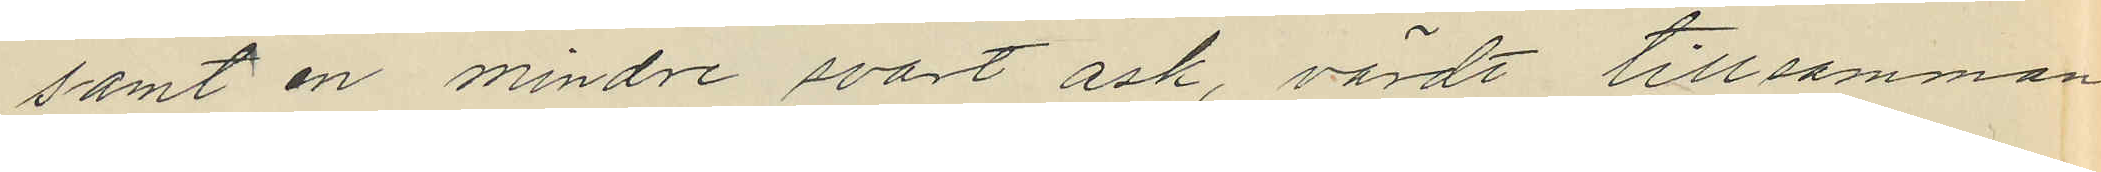samt en mindre svart ask, värdt tillsamman
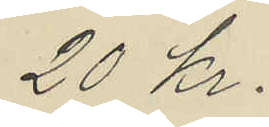20 kr.
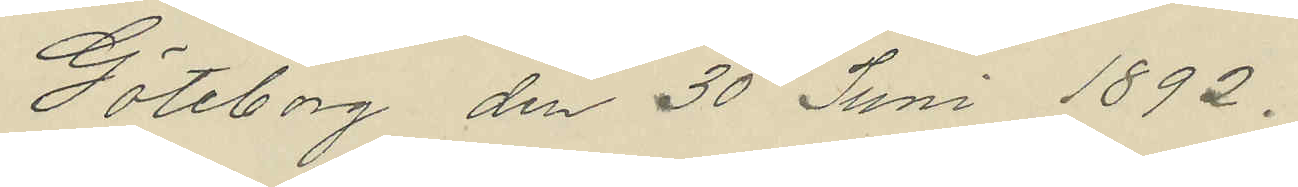Göteborg den 30 Juni 1892.
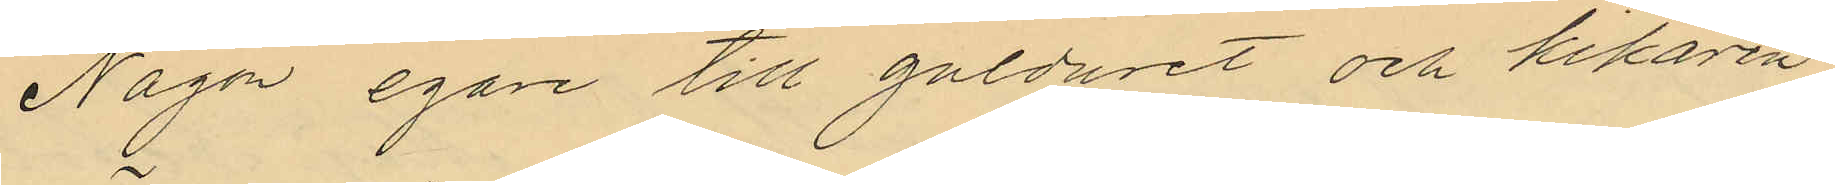Någon egare till gulduret och kikaren
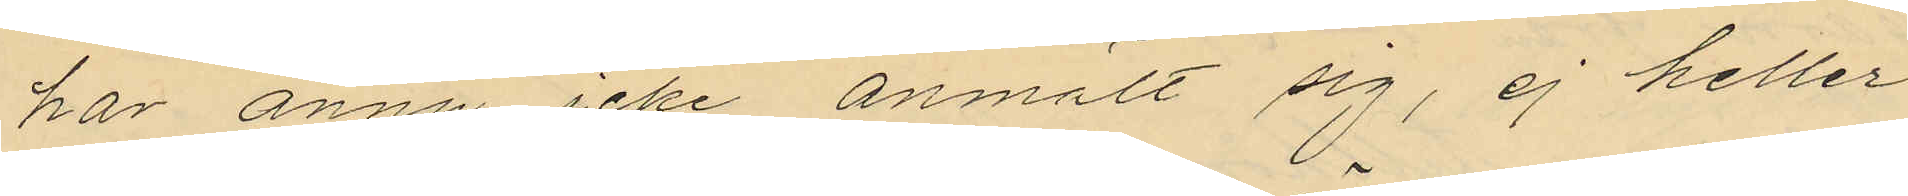har ännu icke anmält sig, ej heller
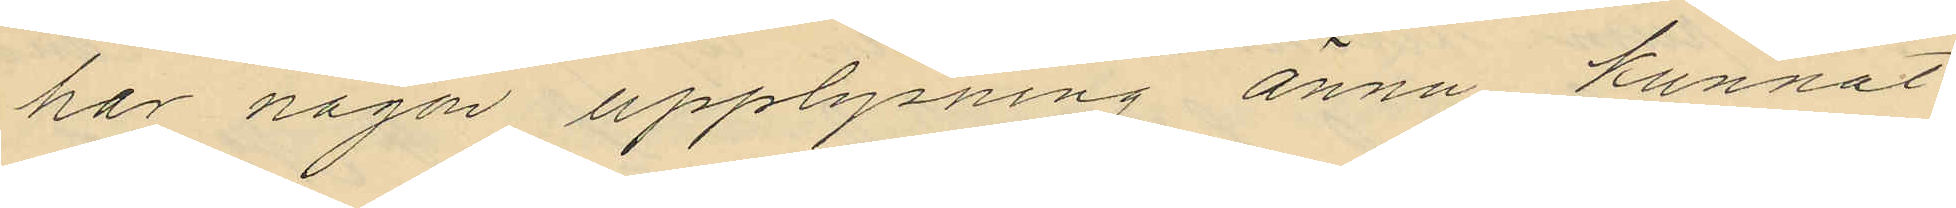har någon upplysning ännu kunnat
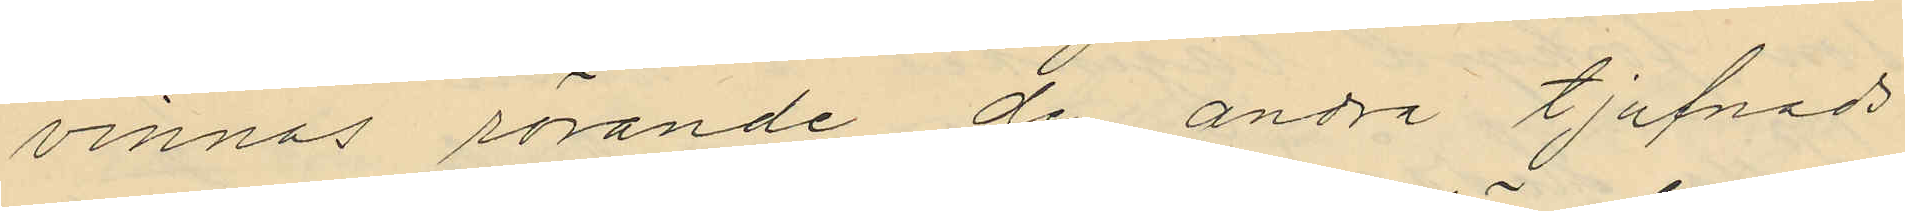vinnas rörande de andra tjufnads¬
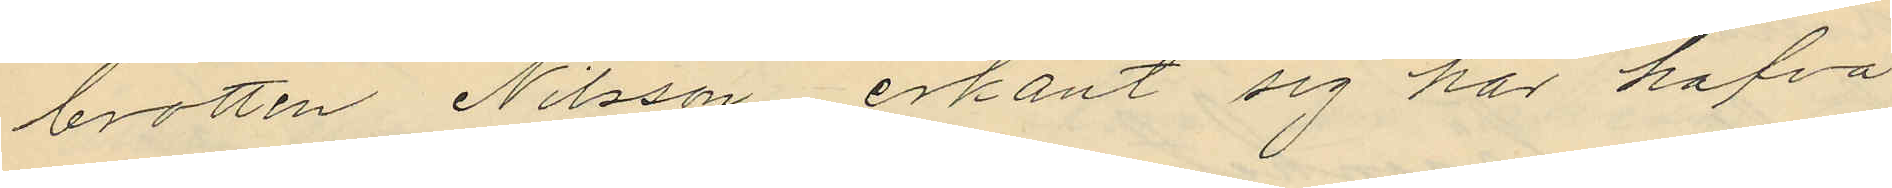brotten Nilsson erkänt sig har hafva
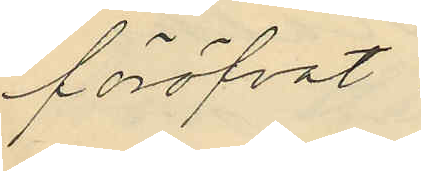föröfvat.
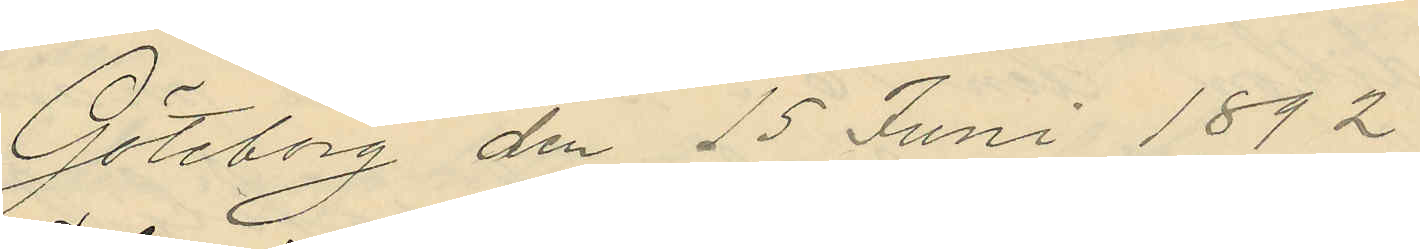Göteborg den 15 Juni 1892
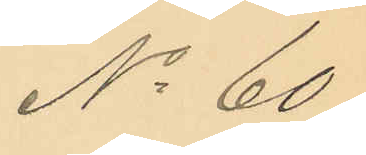No 60.
